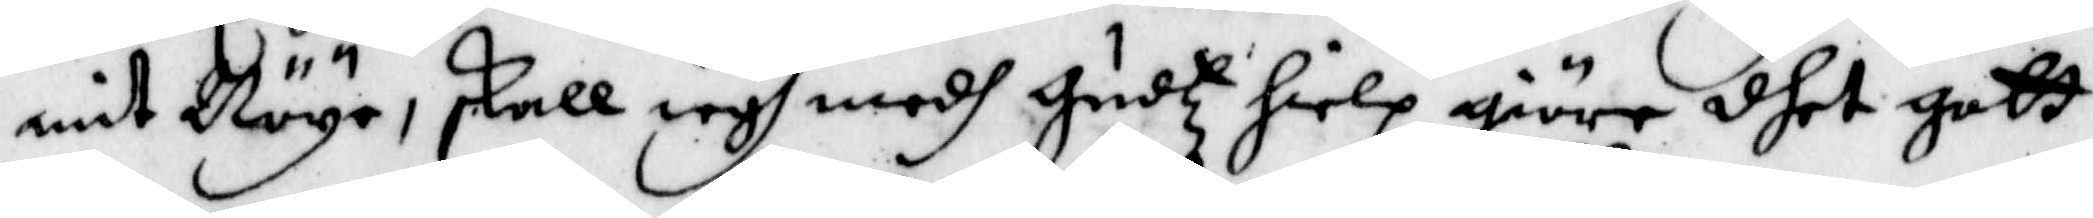mit Nöye, skall iagh medh Gudz hielp giöre dhet gott
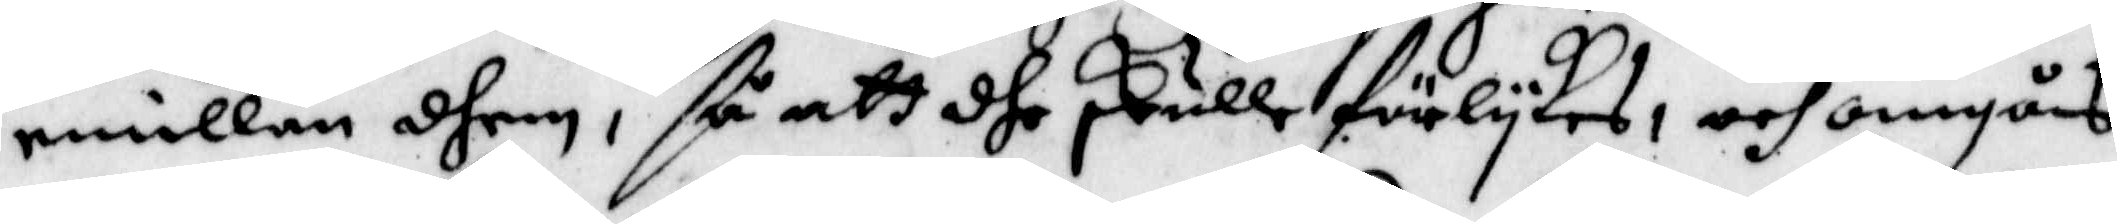emillan dhem, så att dhe skulle förlykes, och omgås
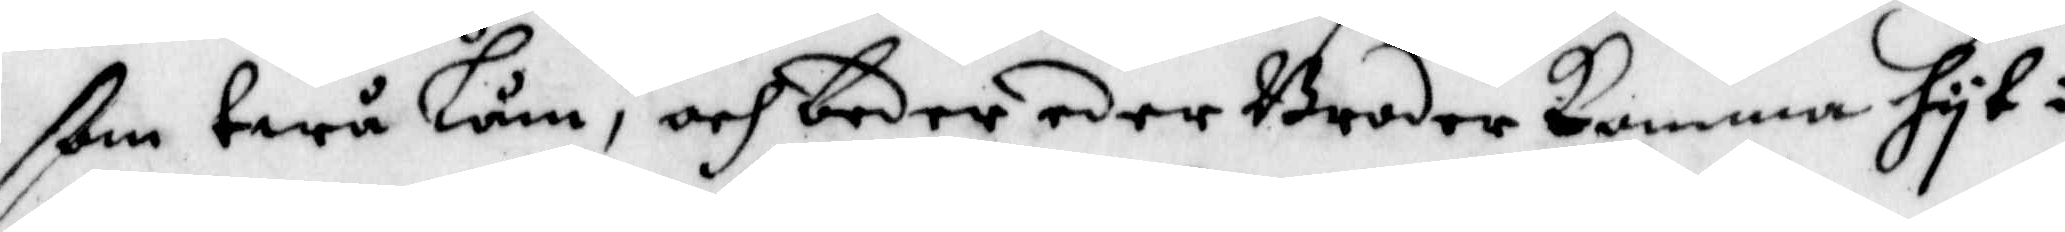ßom twå låm, och beder eder Broder komma hyt i
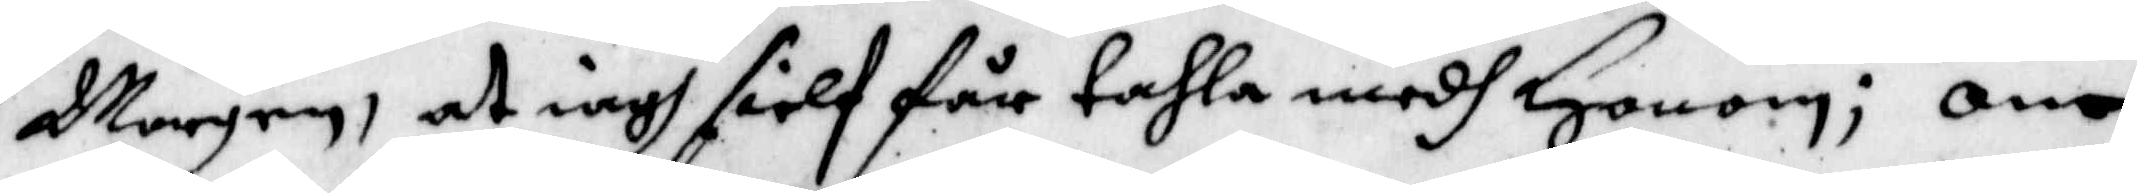Morgen, at iagh sielf får tahla medh Honom; om
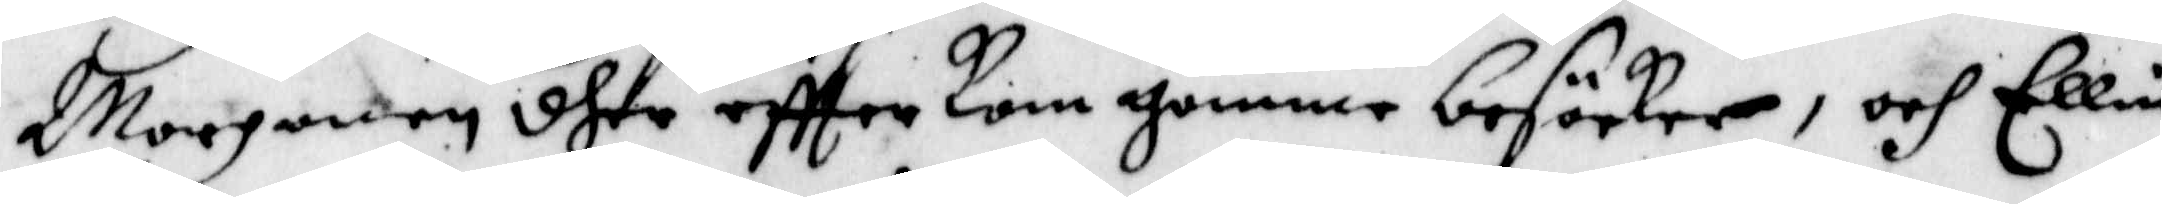Morgonen dher eftter kom gumme besöcker, och Ellin
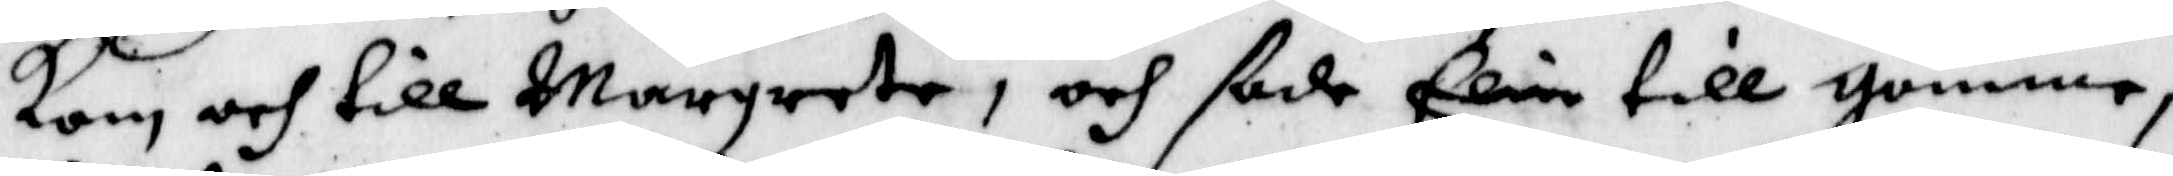kom och till Margareta, och sade till gumme,
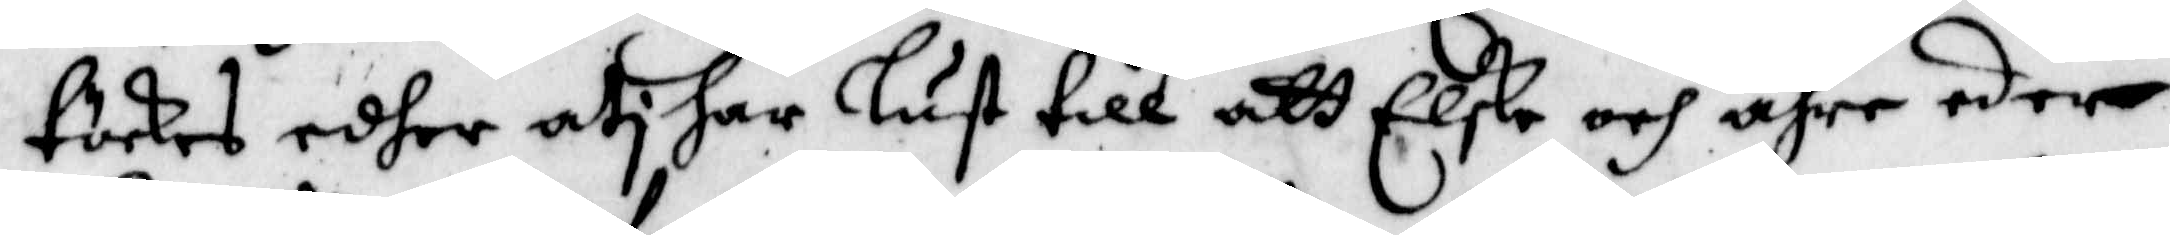täckes edher uti har lust till att Elske och ähre eder
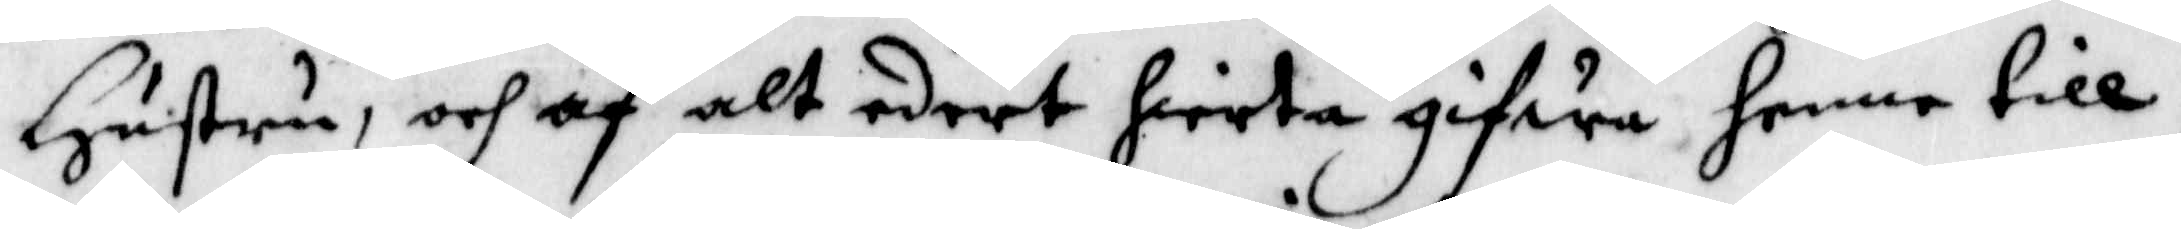Hustru, och af alt edert hierta gifwa henne till,
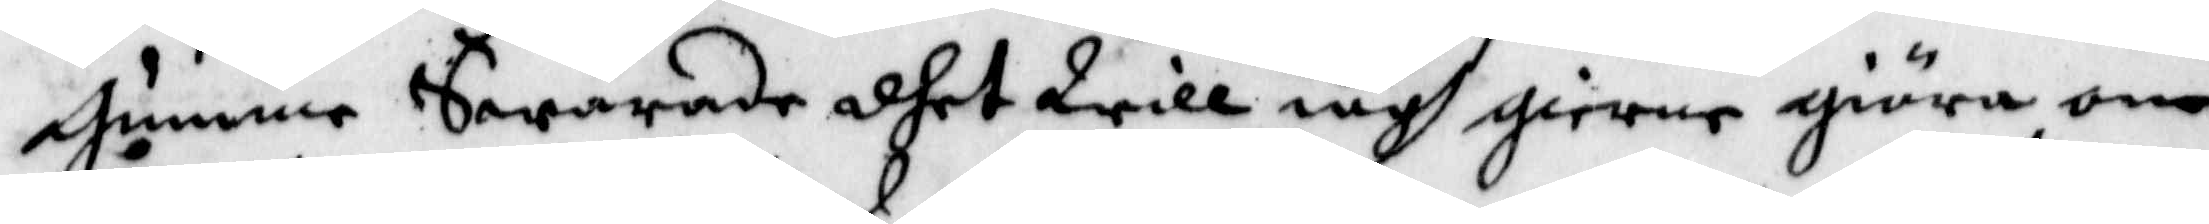Gumme Swarade dhet will iagh gierna giöra om
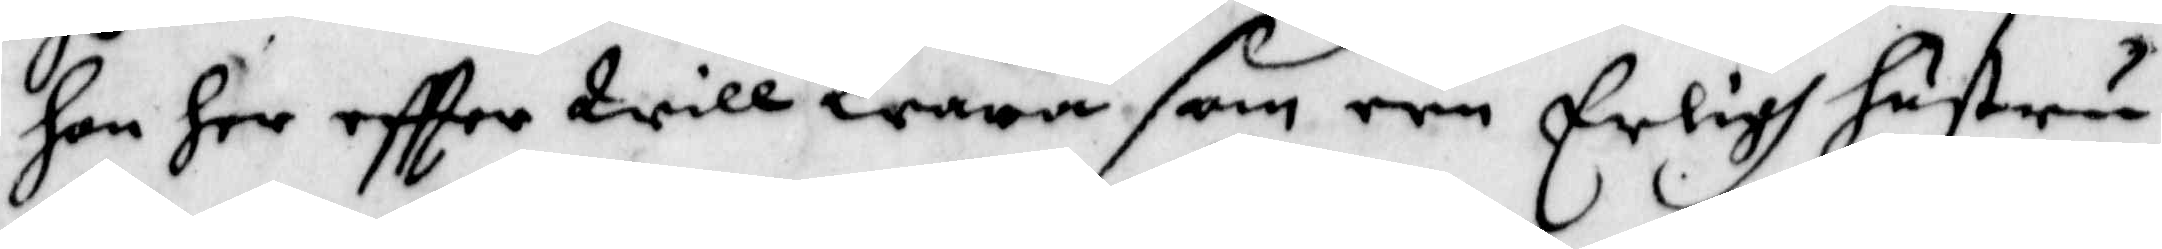hon her effter Will Wara som een Erligh hustru
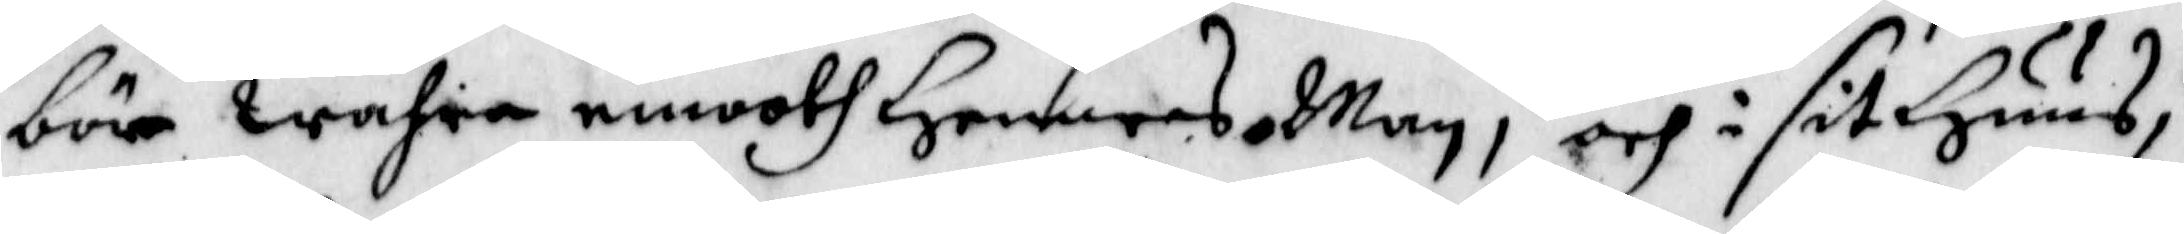böre wahra emooth Hennes Man, och i sit Huus;
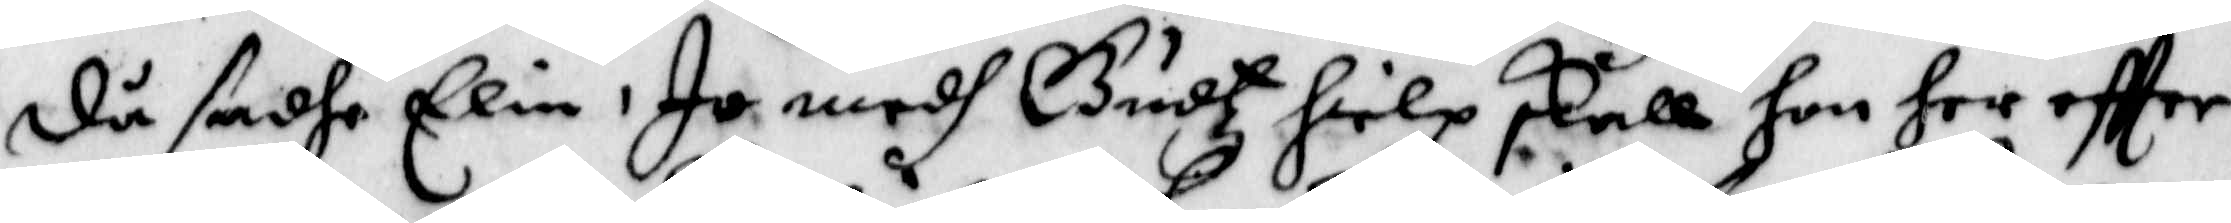då sadhe Elin, Jo medh Gudtz hielp skull hon her effter
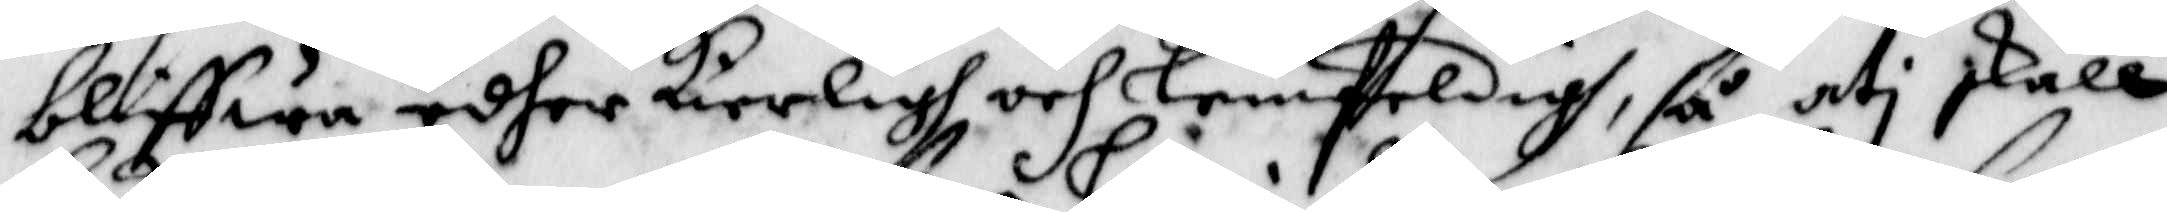bliffwa edher Kierligh och lemsteldigh, så uti skall
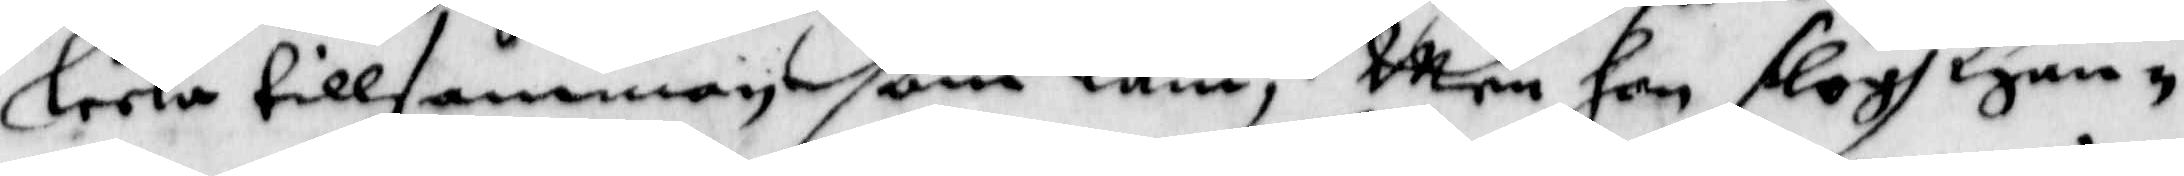leka tillsamman som låm; Men hon slogh Han¬
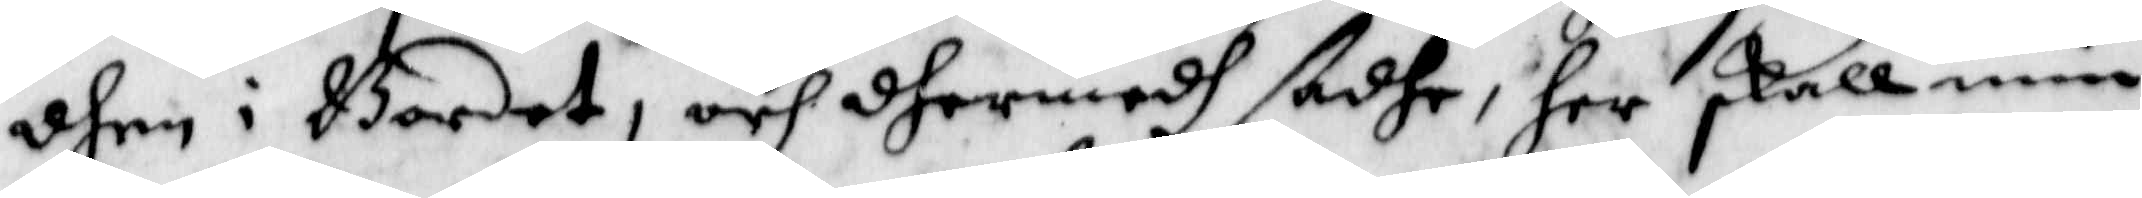dhen i Bordet, och dhermedh sadhe, her skall min
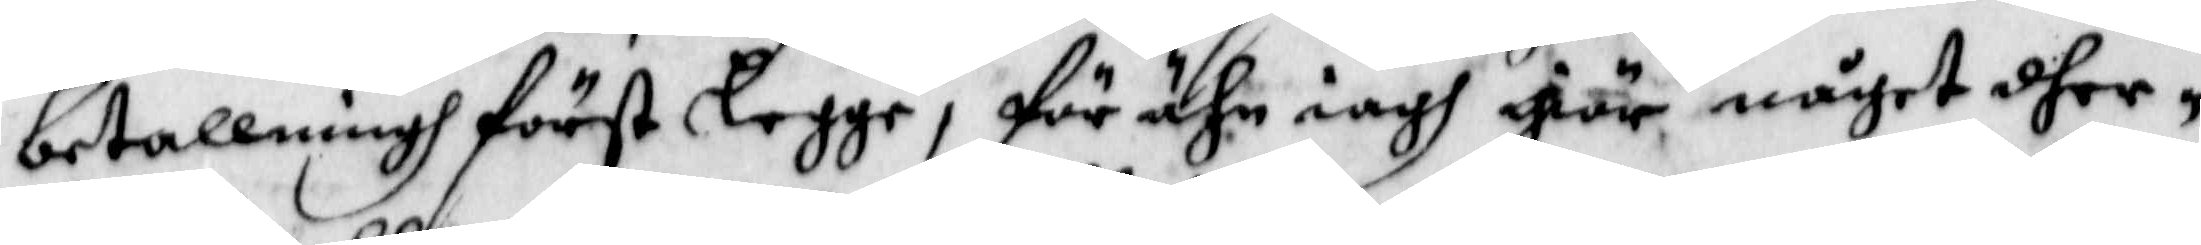betallningh först legge, för ähn iagh giör något dher¬
